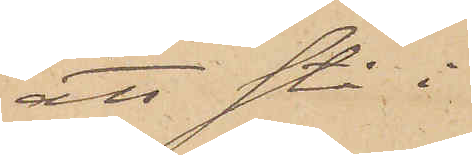att stå i
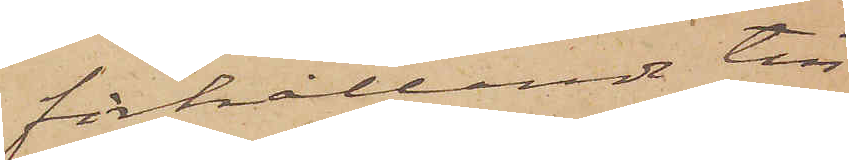förhållande till
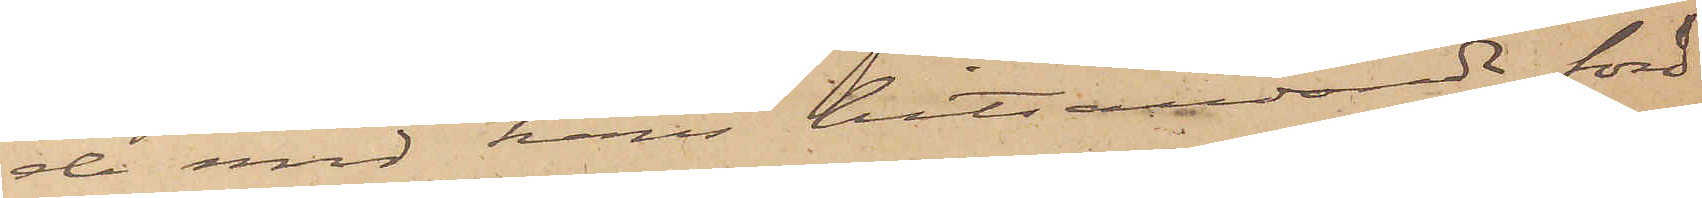de med hans hitsändande ford¬
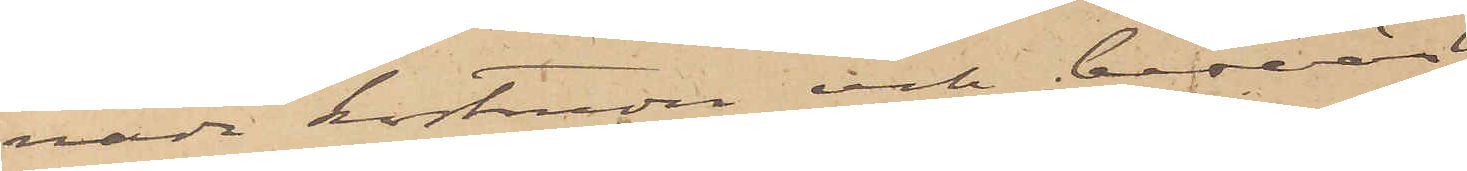rade kostnader och besvär.
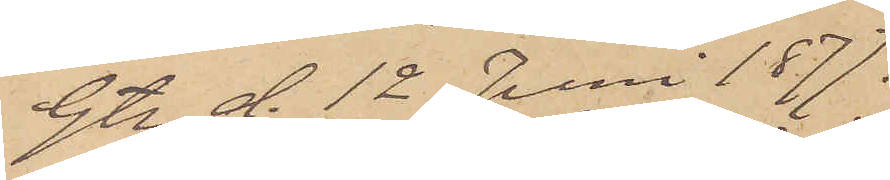Gtg d. 12 Juni 1877.
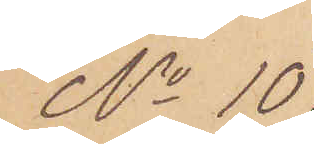No 10
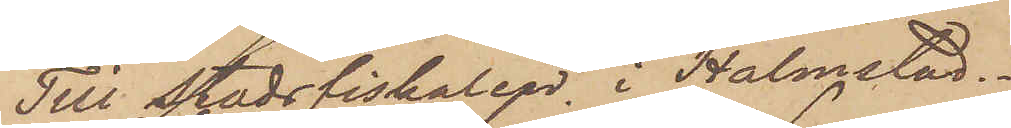Till Stadsfiskalen i Halmstad.
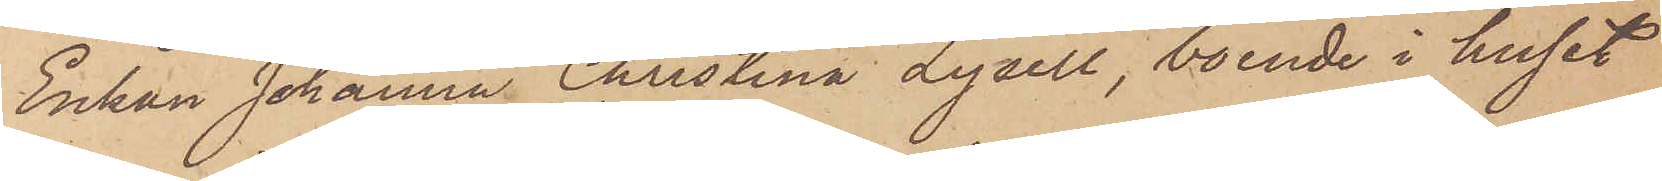Enkan Johanna Christina Lysell, boende i huset
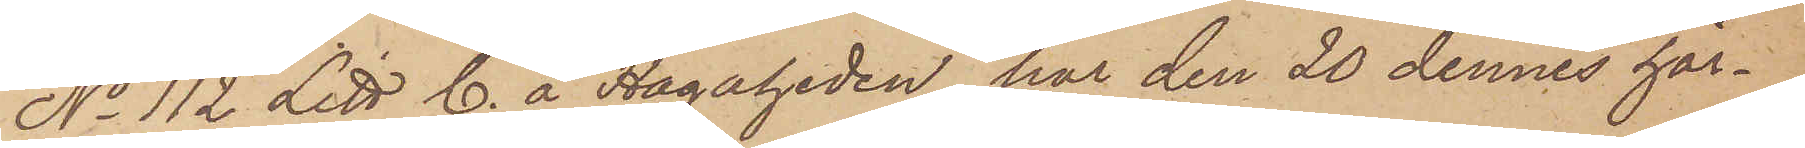No 112 Litt C. å Hagaheden, har den 20 dennes här¬
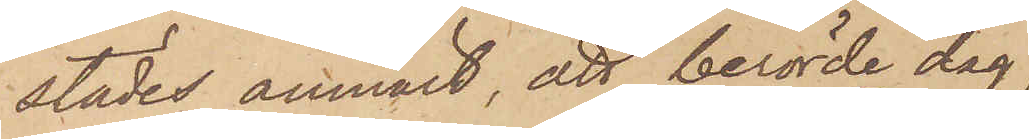städes anmält, att berörde dag
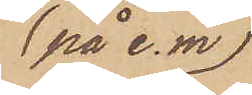på e. m.
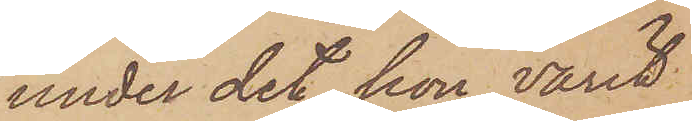under det hon varit
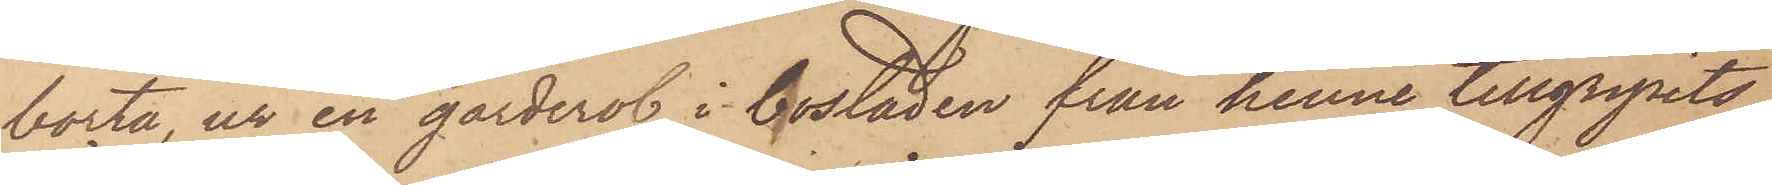borta, ur en garderob i bostaden från henne tillgripits
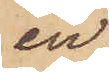en
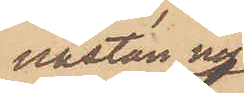nästan ny
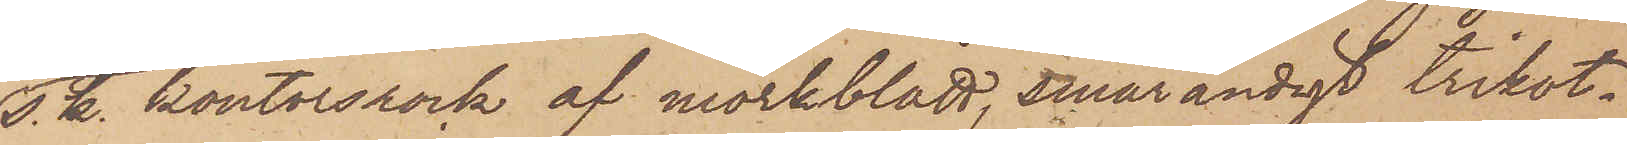s. k. kontorsrock af mörkblått, smårandigt trikot¬
